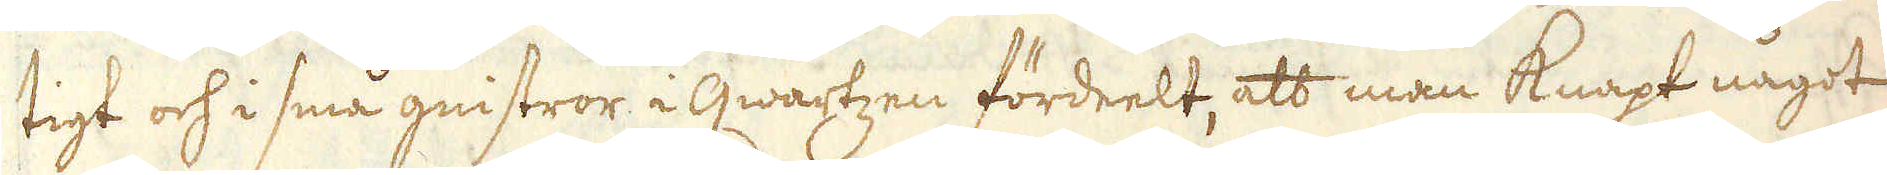tigt och i små gnistror i qwartzen fördeelt, att man knapt något
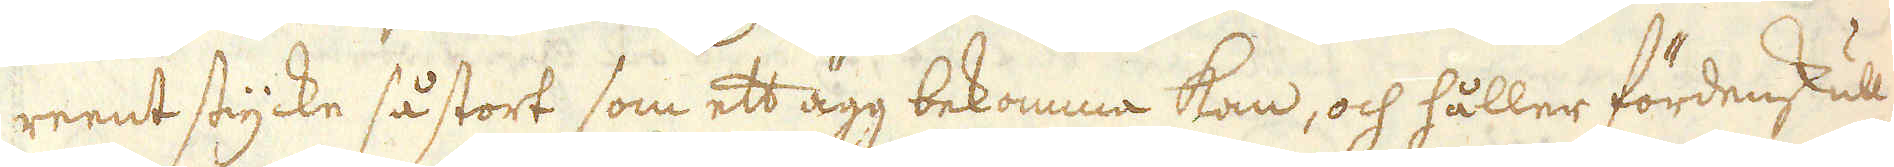reent stycke så stort som ett ägg bekomma kan, och håller fördenskull
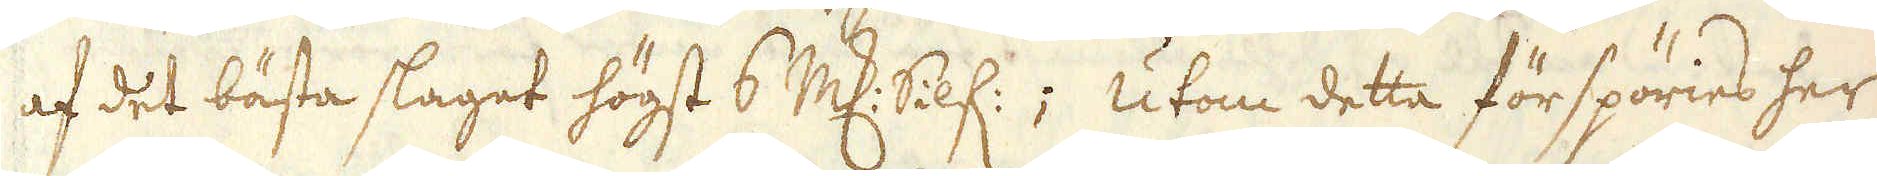af det bästa slaget högst 6 marker Silf:; Utom detta förspöries her
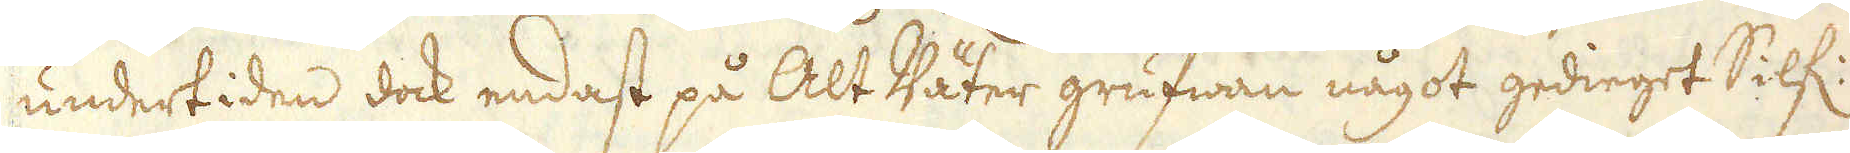undertiden dock endast på Alt Väter grufwan något gedieget Silf:
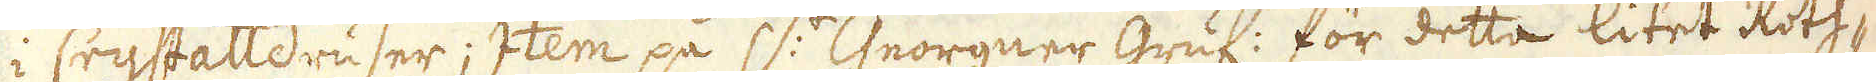i Crystalldruser; item på S:t Georgner Gruf: för detta liet Roth-
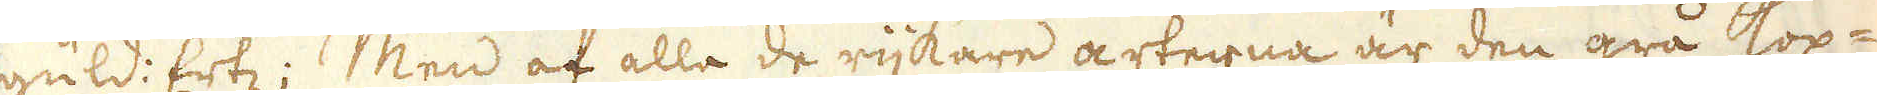güld: Ertz; Men af alla de rijkare arterna är den grå kop-
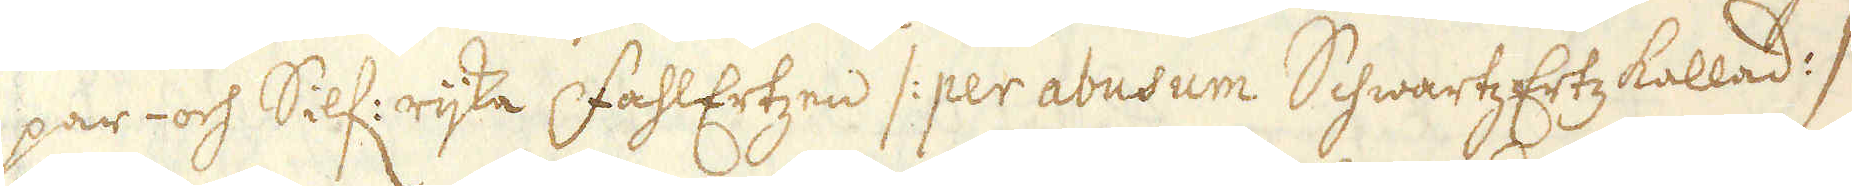par- och Silf: rijka FahlErtzen /: per abusum Schwartz Ertz kallad :/
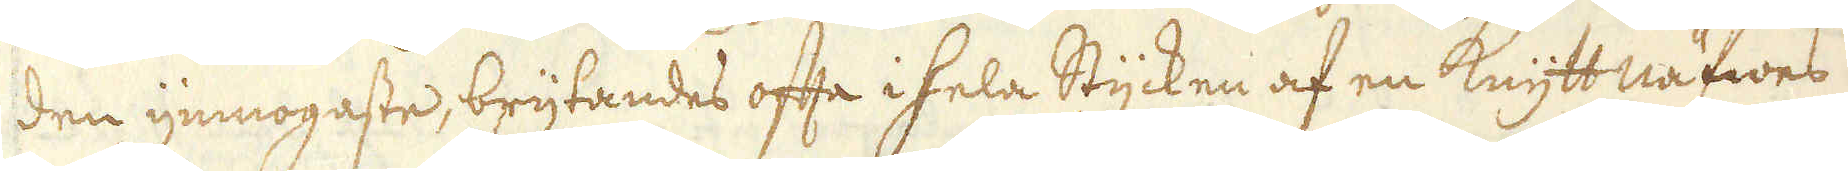den ymnogaste, brijtandes ofta ihela Stycken af en Knytt näfwes
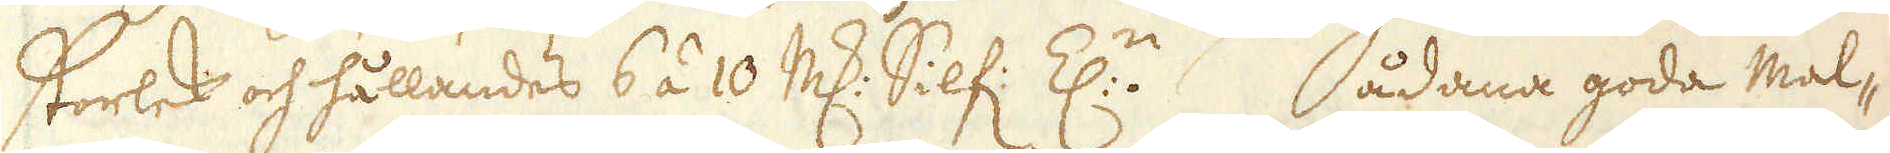storlek och hållandes 6 á 10 marker Silf: Z:n. Sådana goda mal-
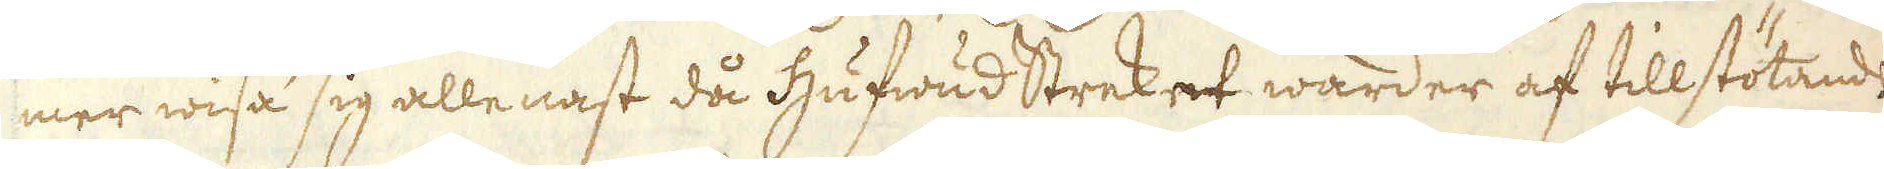mer wisa sig allenast då hufwud Streket warder af tillstötande
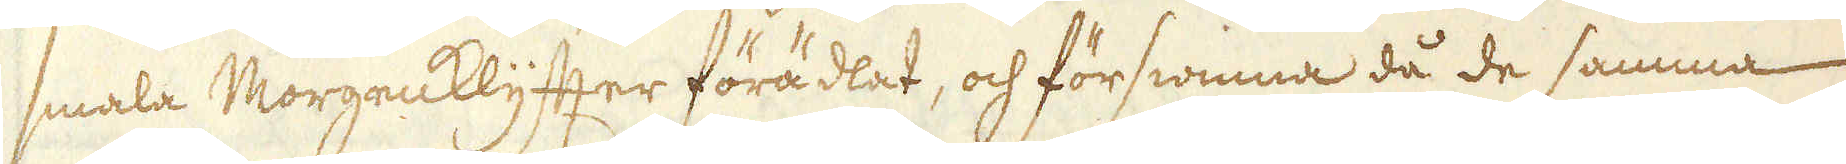smala Norgenklyfter förädlat, och förswinna då de samma
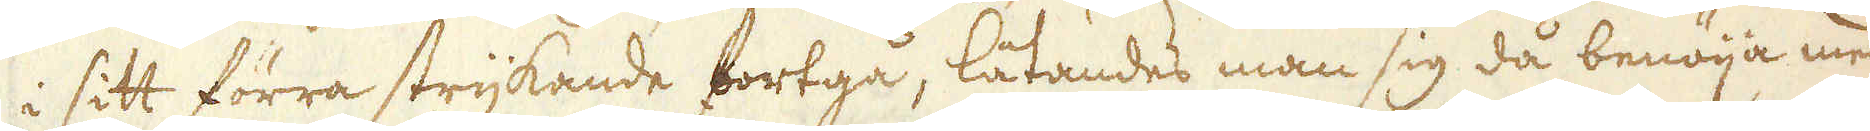i sitt förra strykande fortgå, låtandes man sig då benöija med
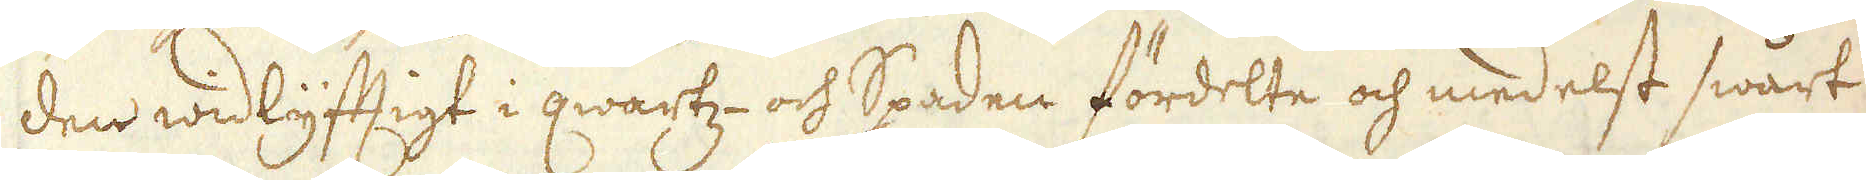den widlyftigt i qwartz- och Spaden fördelte och medelst swårt
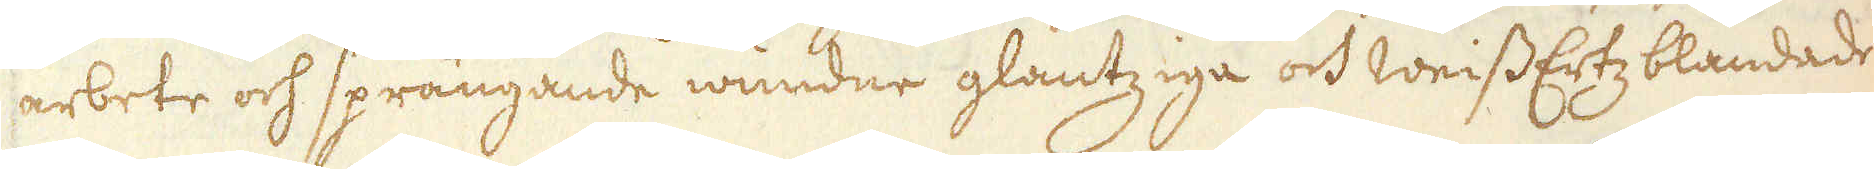arbete och sprängande wundne glantziga och WeissErtz blandade
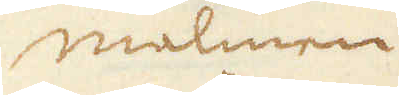malmen
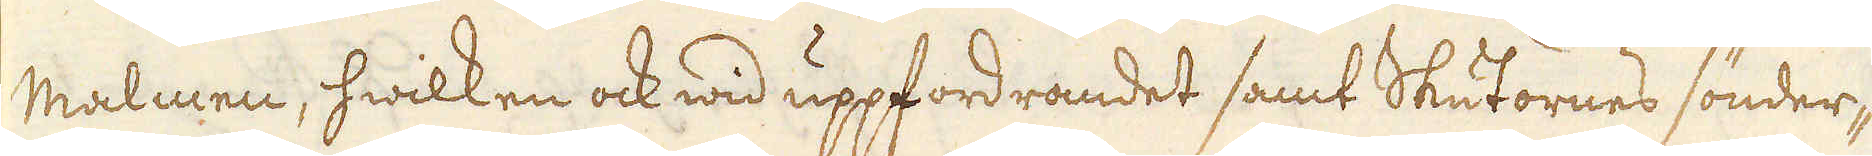malmen, hwilken ock wid uppfordrandet samt Skutornes sönder-
